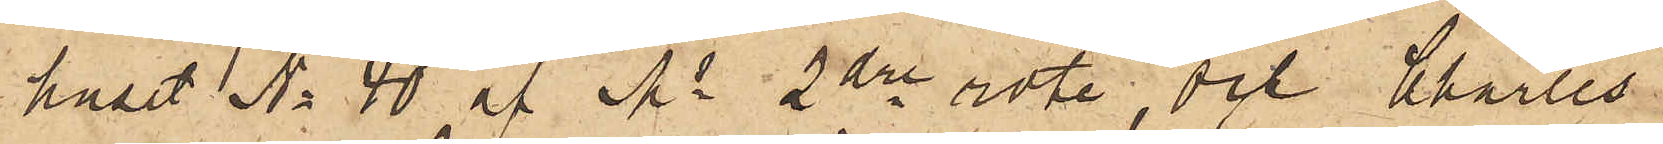huset No 40 af Ms 2dre rote, och Charles
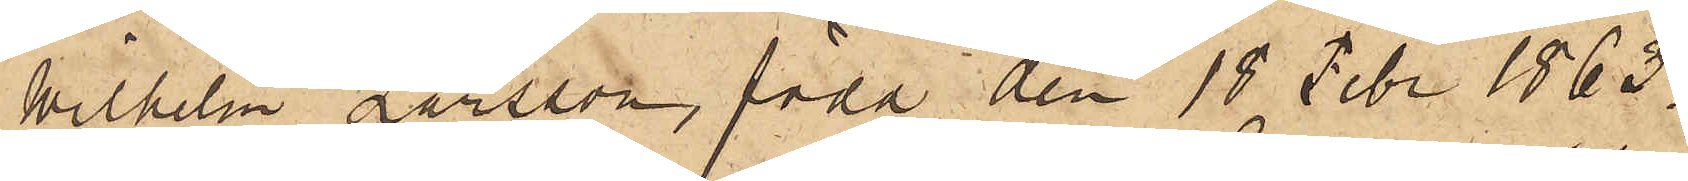Wilhelm Larsson, född den 18 Febr 1863
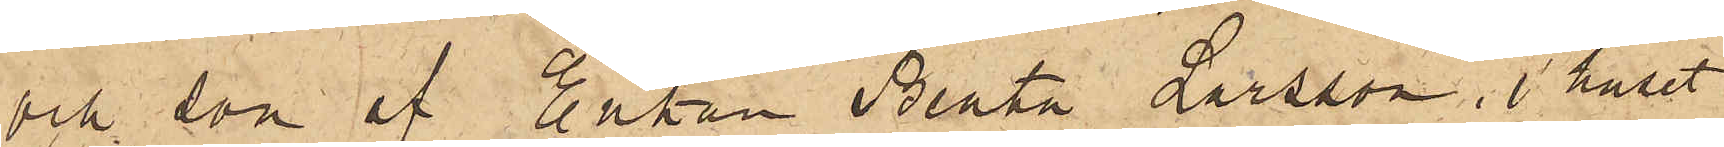och son af Enkan Beata Larsson, i huset
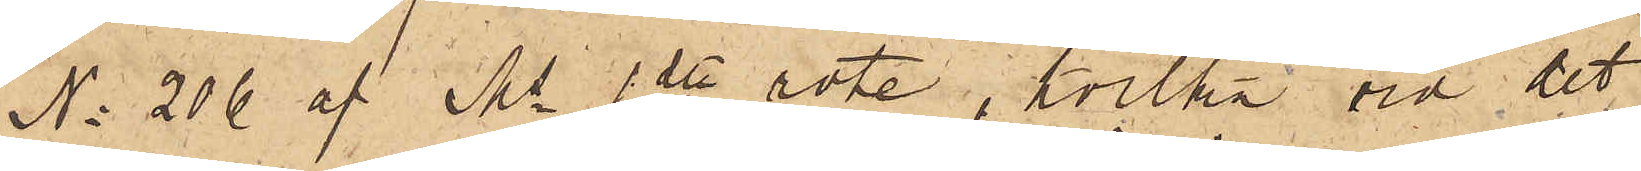No 206 af Ms 1ste rote, hvilka vid det
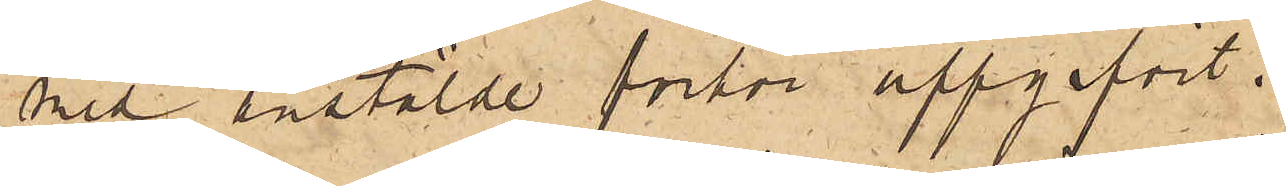med anstälde förhör uppgifvit:
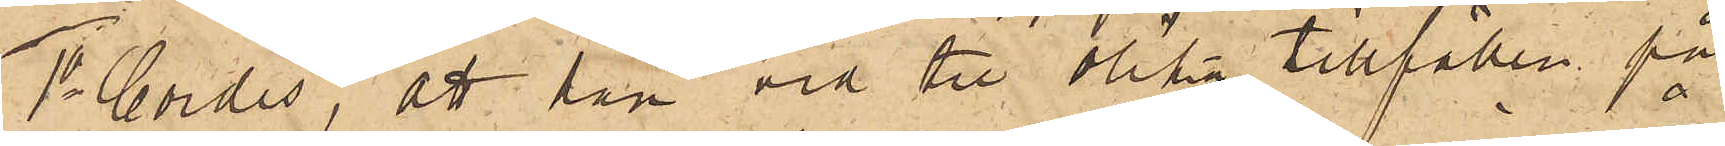1o Cordis, att han vid tre olika tillfällen på
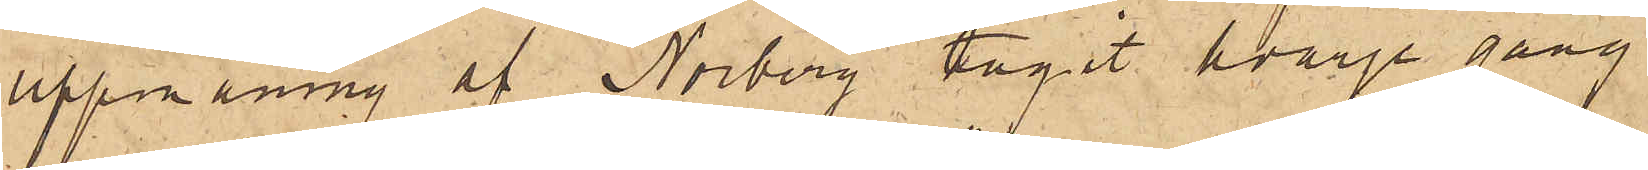uppmaning af Norberg tagit hvarje gång
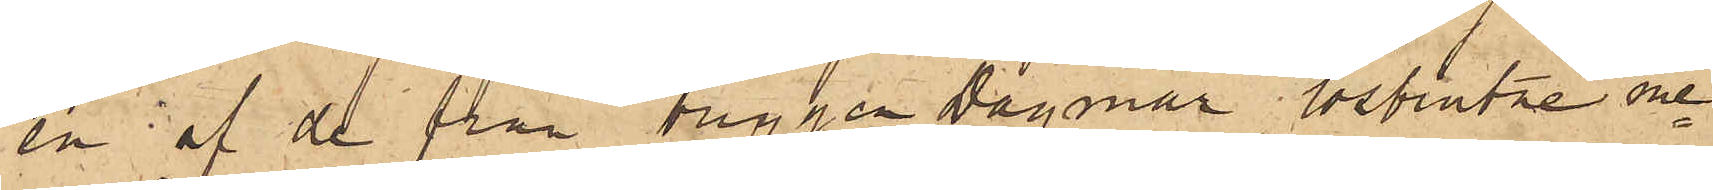en af de från briggen Dagmar lösbrutne me¬
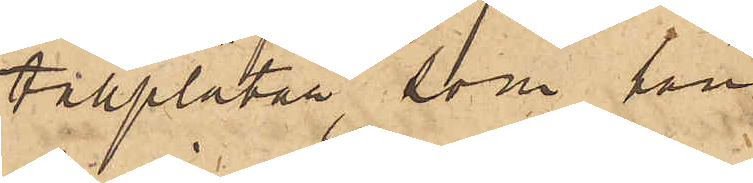tallplåtar, som han
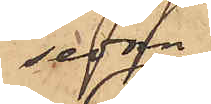sedan
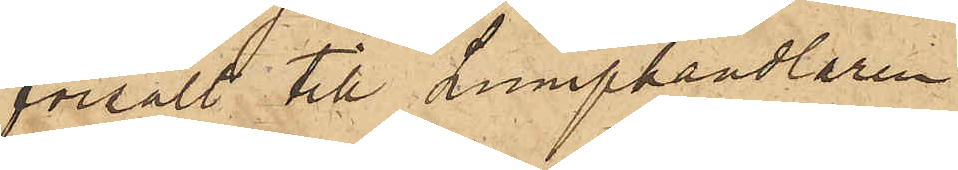försålt till Lumphandlaren
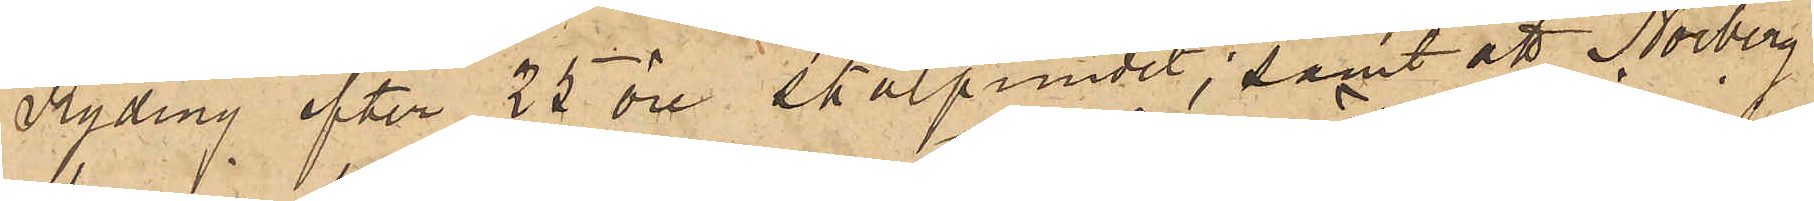Ryding efter 25 öre skålpundet; samt att Norberg
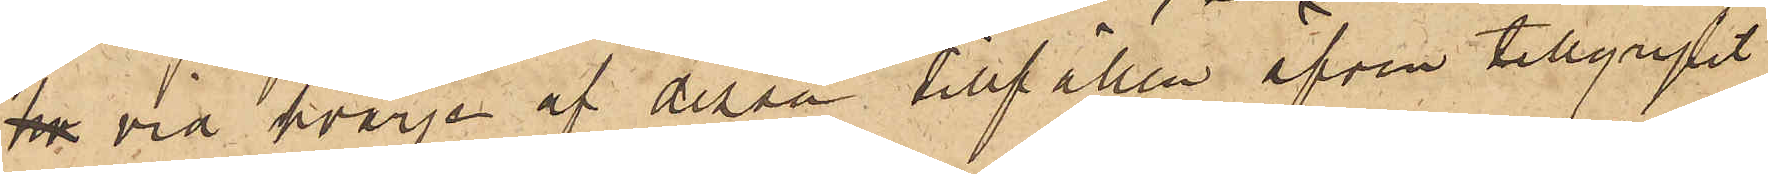ho vid hvarje af dessa tillfällen äfven tillgripit
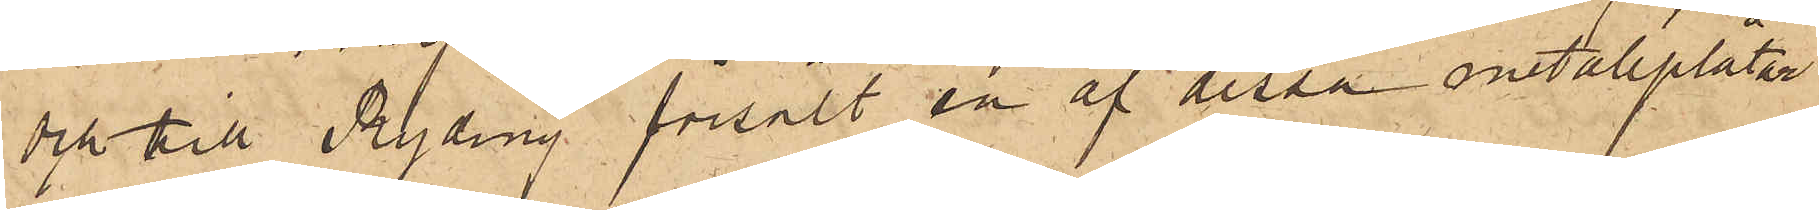och till Ryding försålt en af dessa metallplåtar.
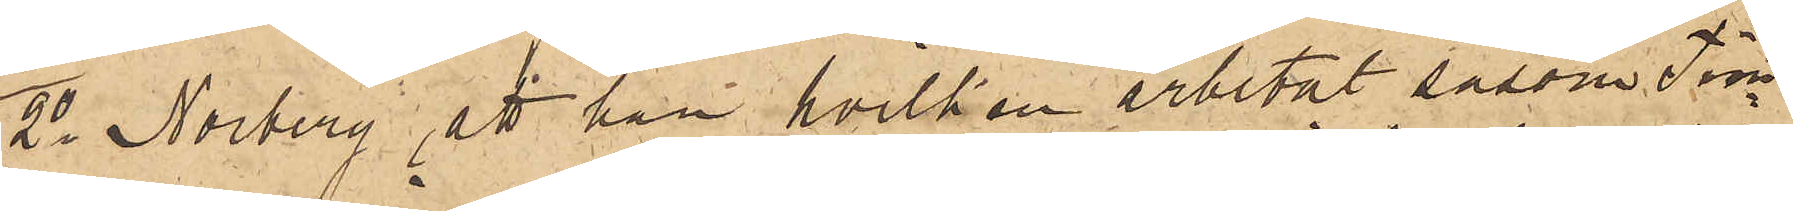2o Norberg, att han, hvilken arbetat såsom Tim¬
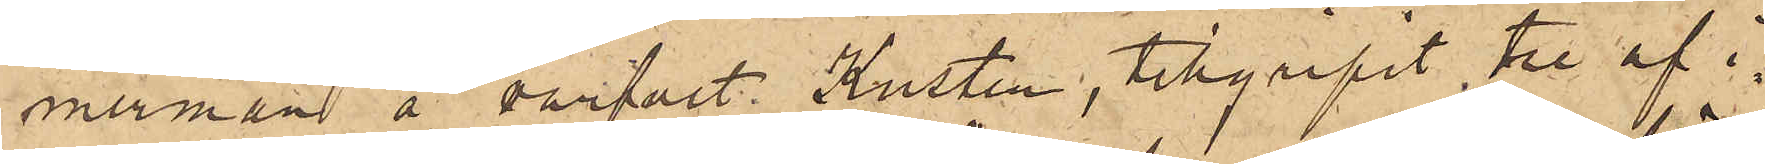merman å warfvet Kusten, tillgripit, tre af i¬
